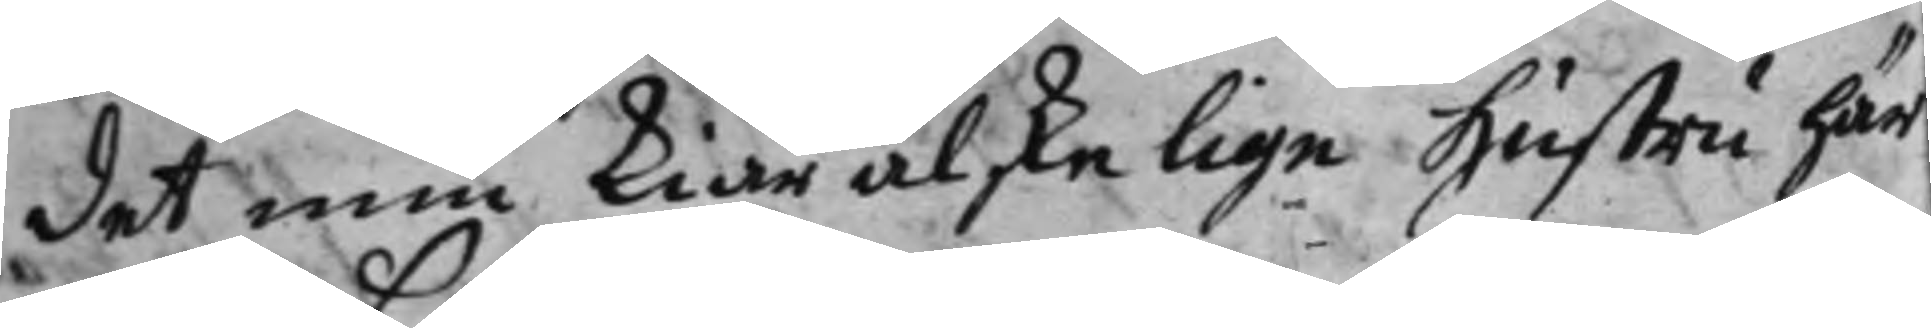det min kiärälskelige Hustru här¬
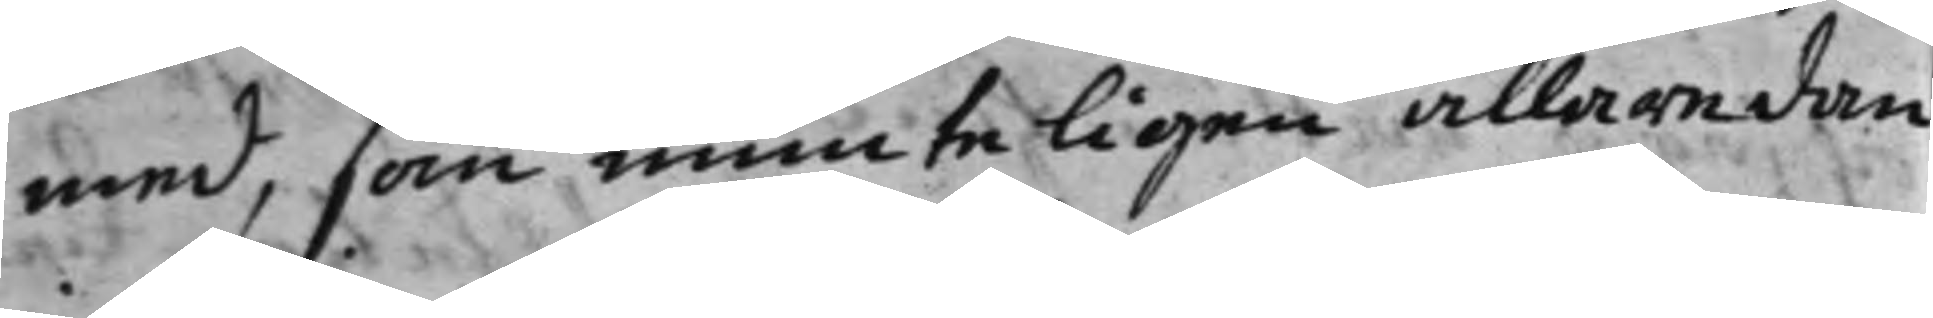med, som munteligen allaredan
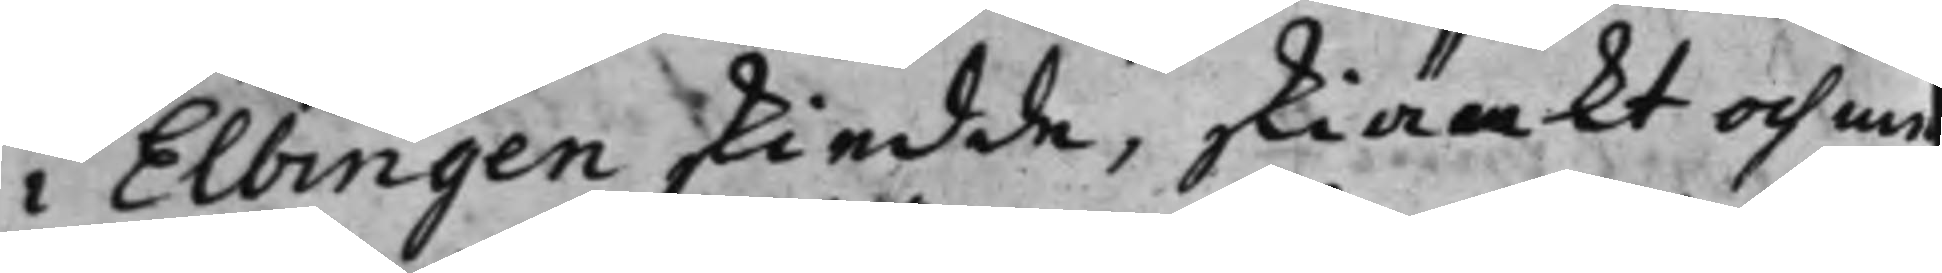i Elbingen skiedde, skiänkt och me
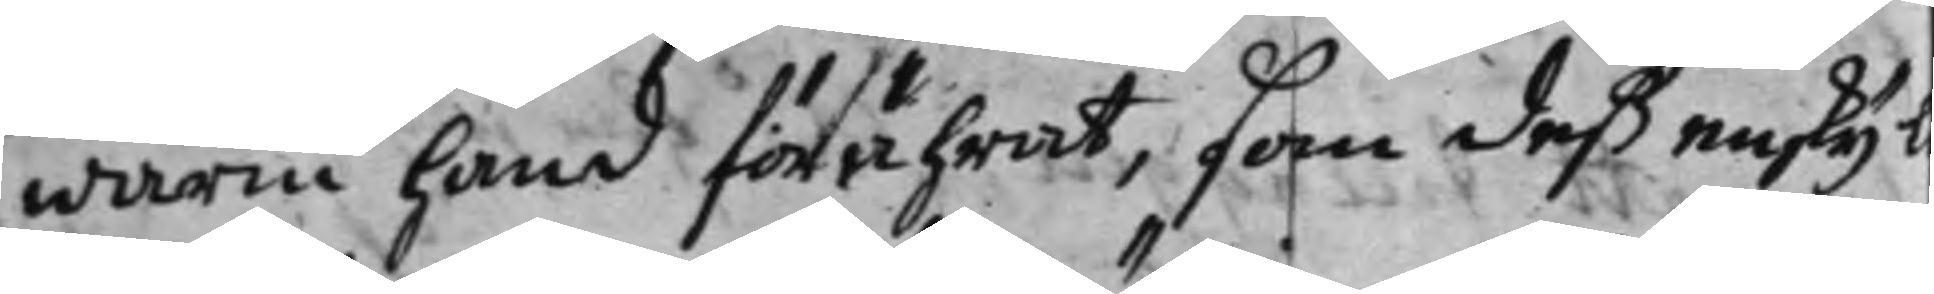warm hand förährat, som deß enskijl
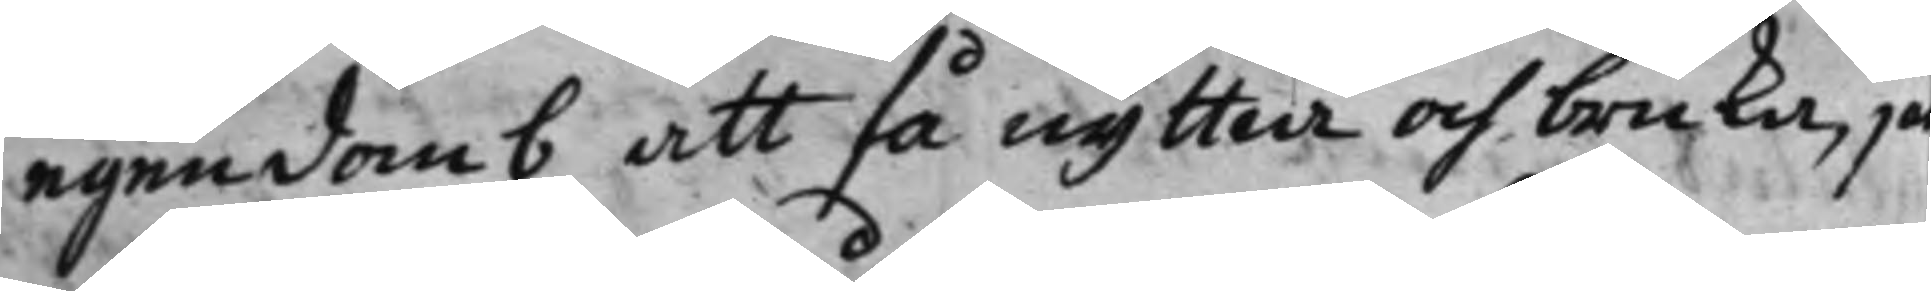egendomb att få nyttia och bruka, jä
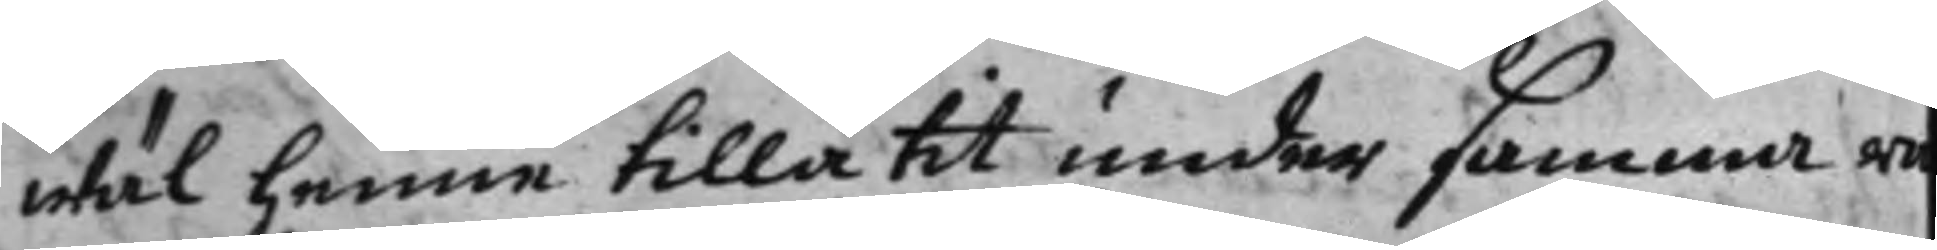wäl henne tillåtit under samma ra
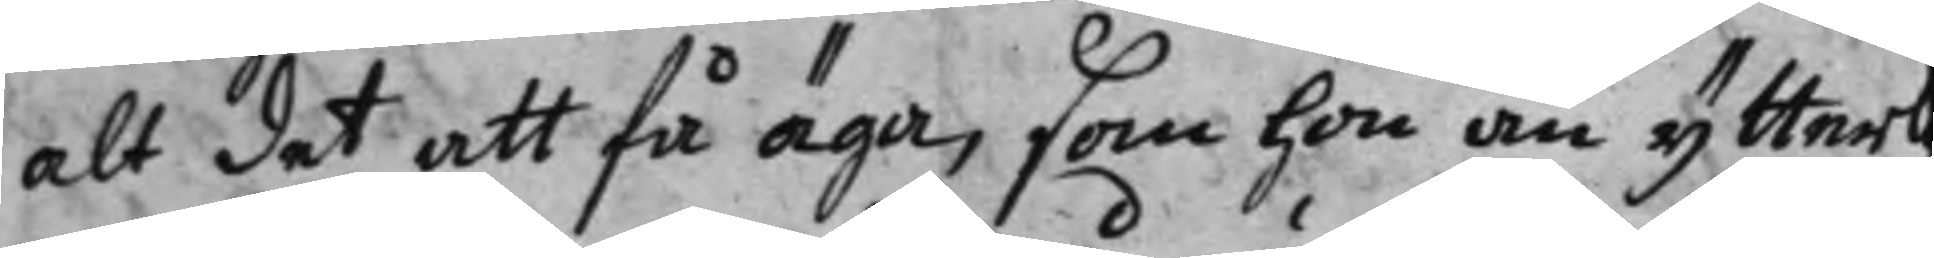alt det att få äga, som hon än ytterl
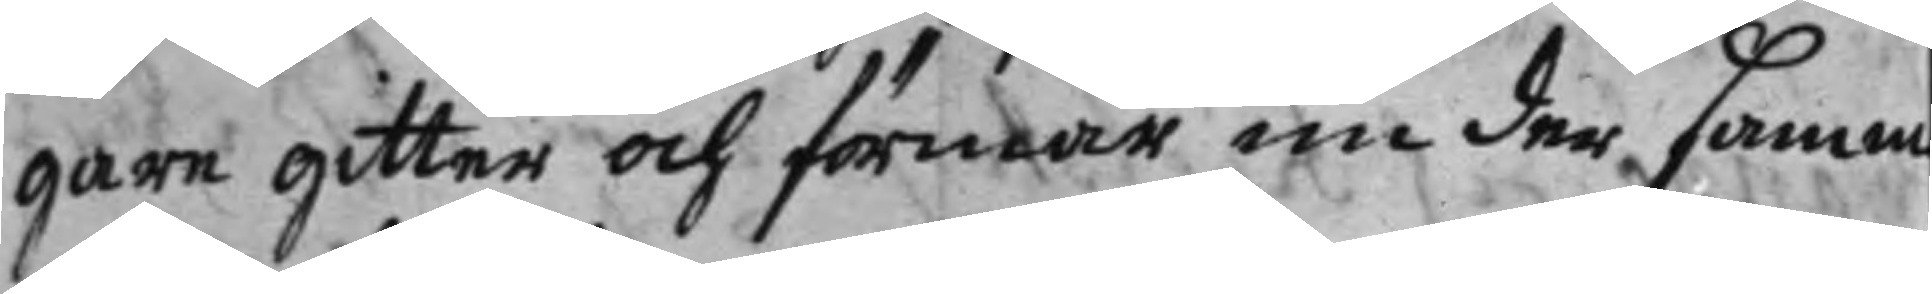gare gitter och förmår nu der samm
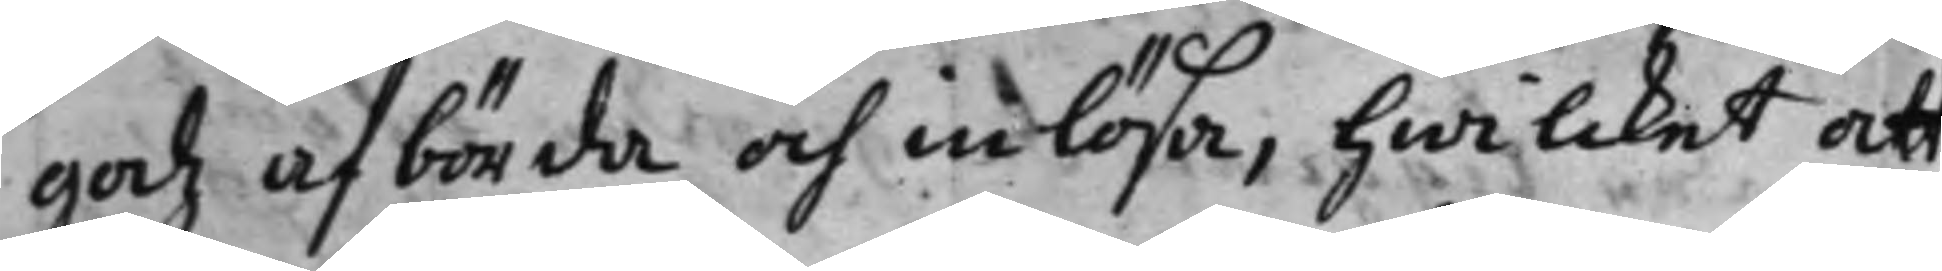godz afbörda och inlösa, hwilcket att
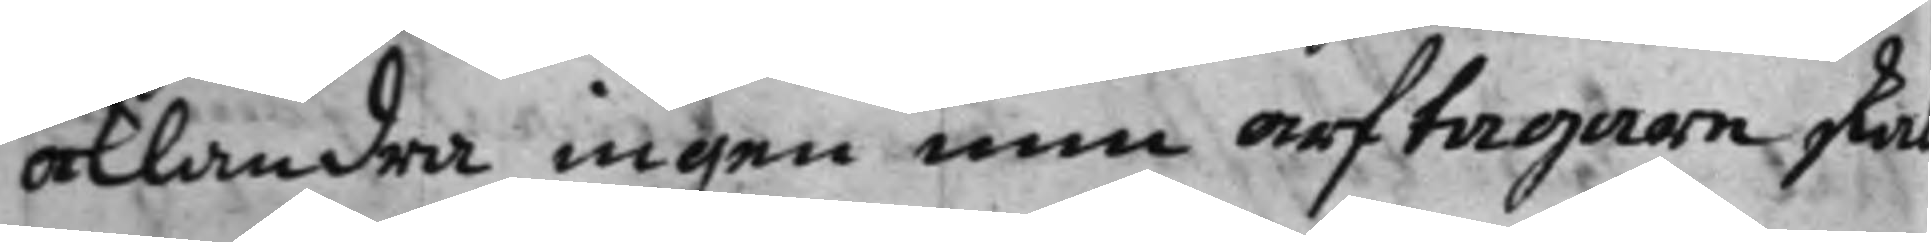åklandra ingen min arftagare skal
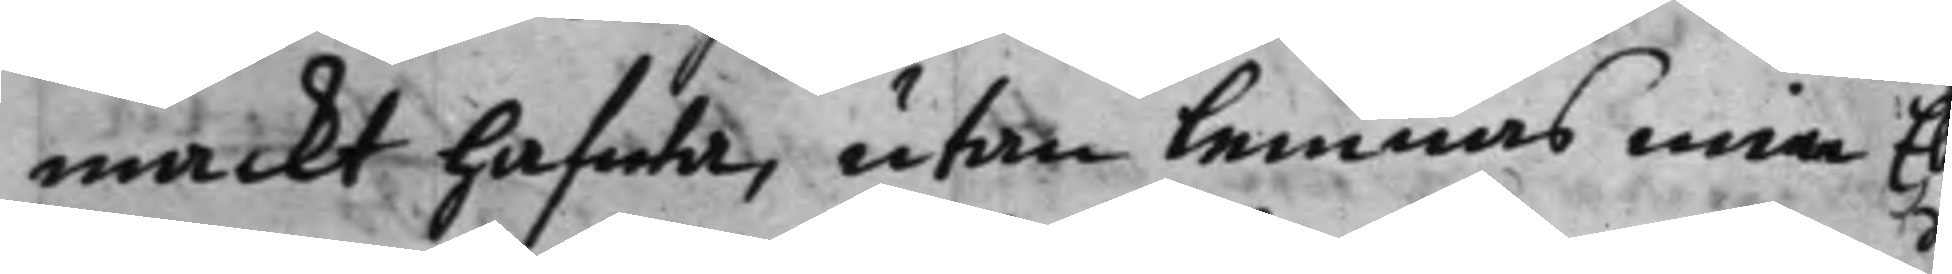mackt hafwa, utan lemnas min El 
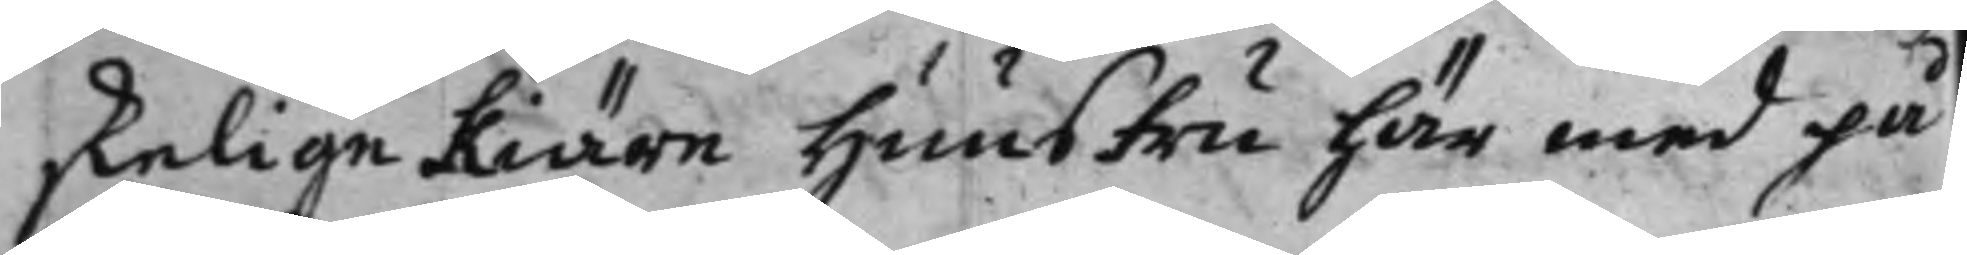skelige Kiära hunstru här med på
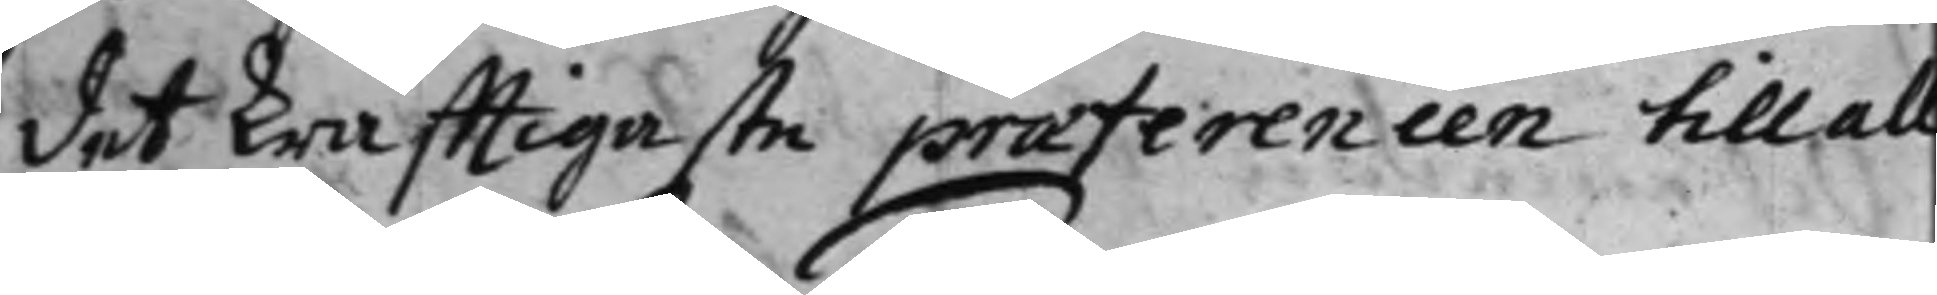det krafftigaste præferencen till all
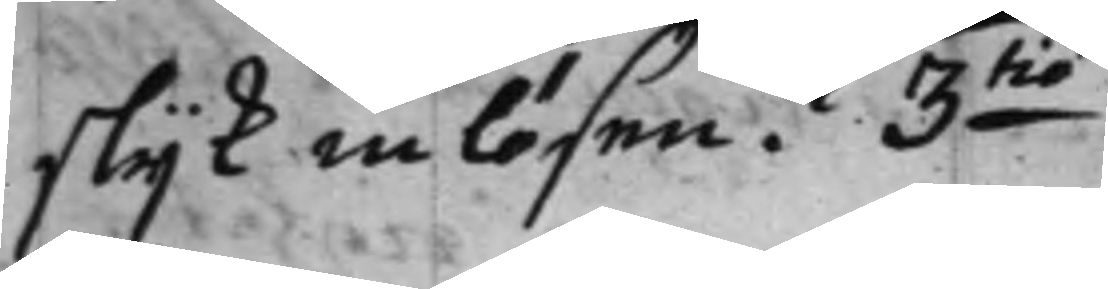slijk inlösen. 3:tio 
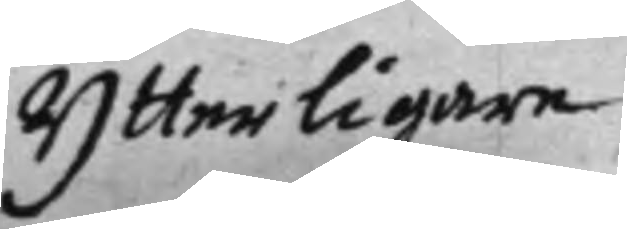Ytterligare
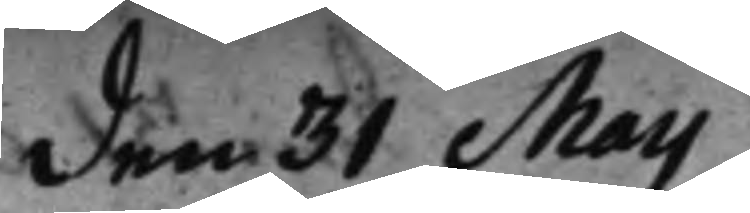den 31 Maij
